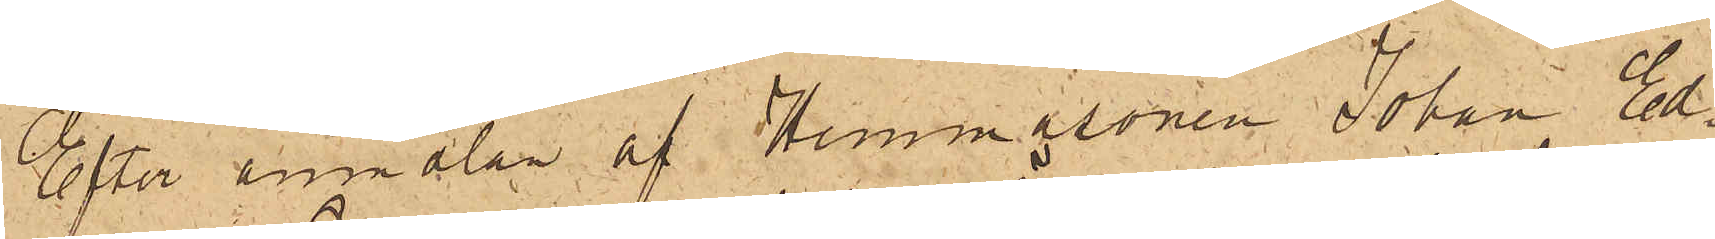Efter anmälan af Hemmasonen Johan Ed¬
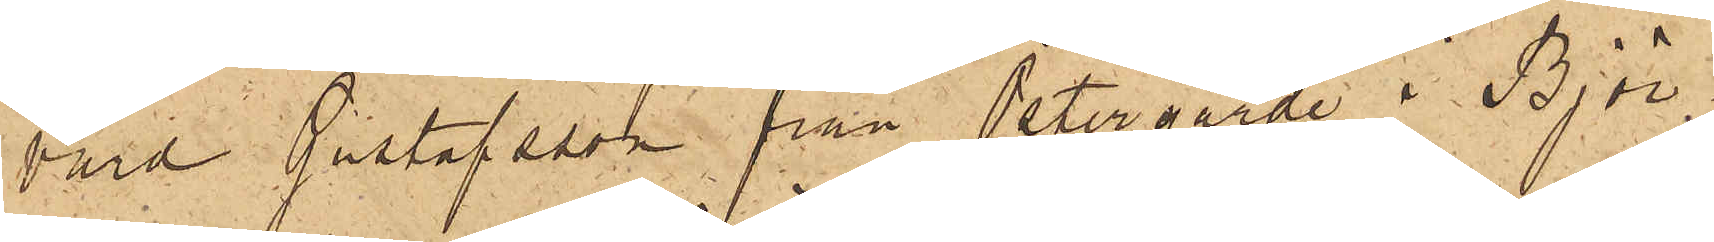vard Gustafsson från Petergärde i Björ¬
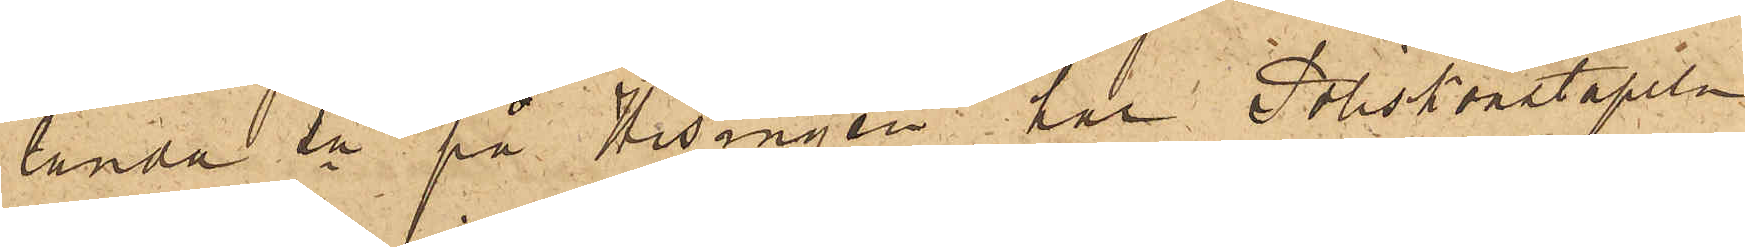landa sn på Hisingen har Poliskonstapeln
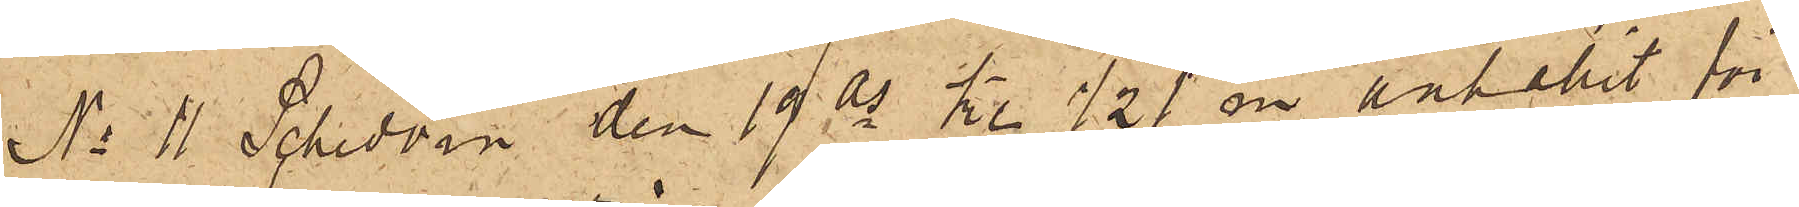No 11 Schedvin den 19 ds kl. ½1 em anhållit för
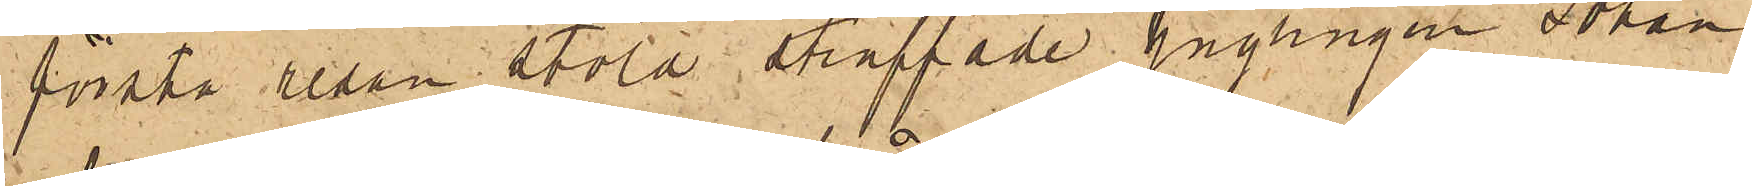första resan stöld straffade ynglingen Johan
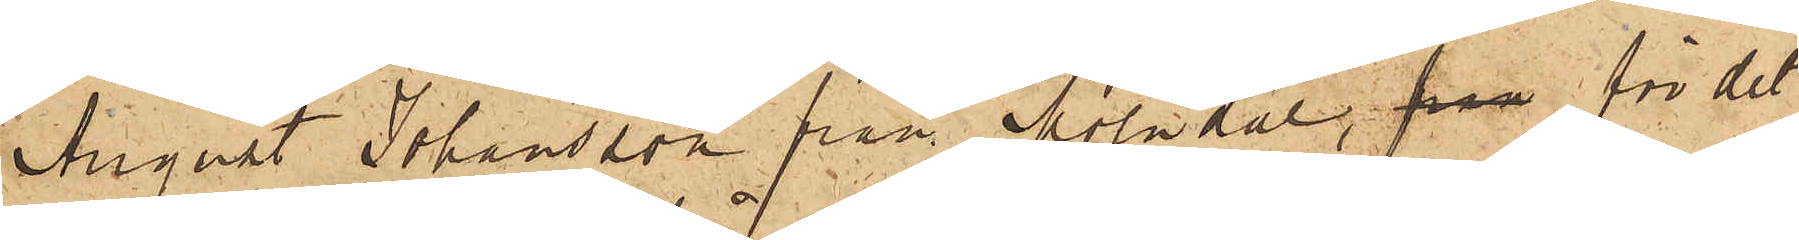August Johansson från Mölndal, från för det
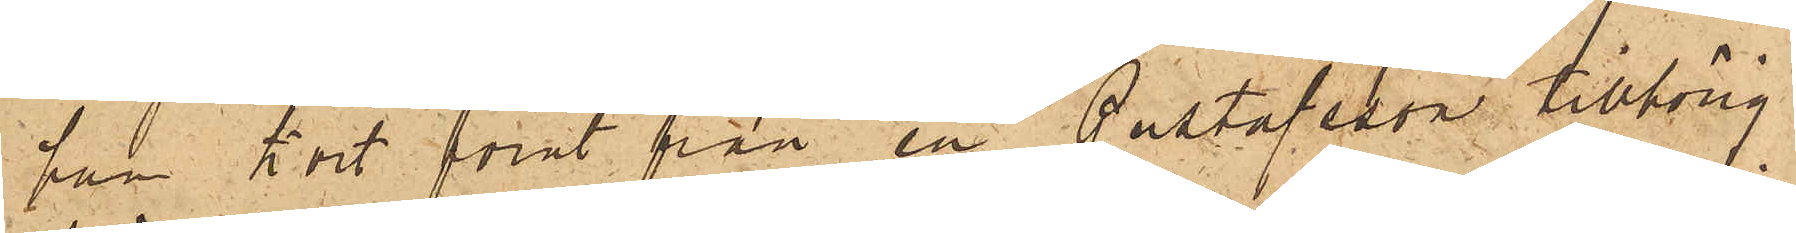han kort förut från en Gustafsson tillhörig
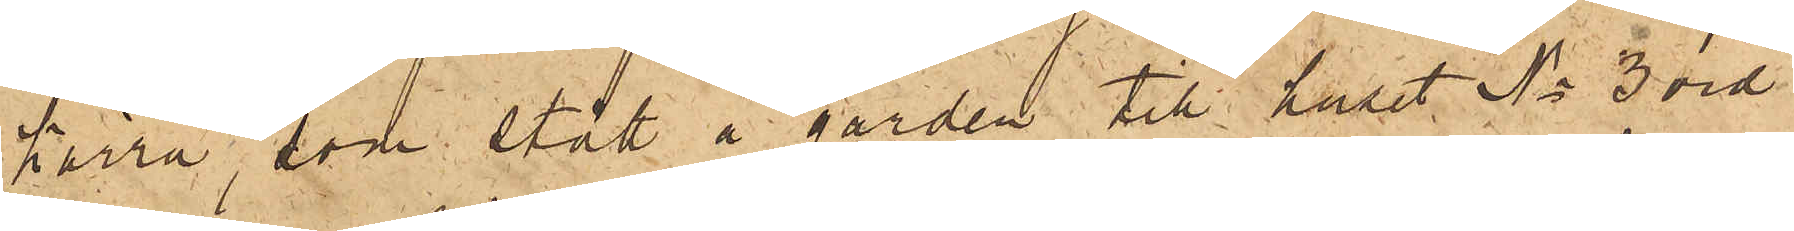kärra, som stått å gården till huset No 3 vid
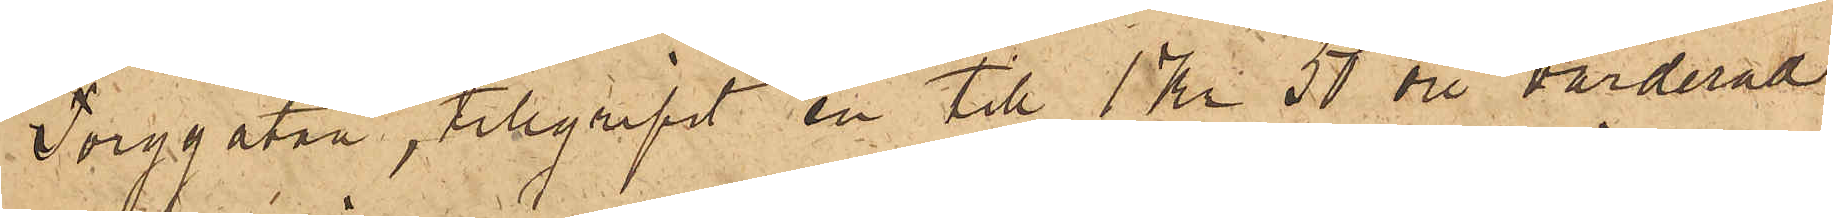Torggatan, tillgripit en till 1 Kr 50 öre, värderad
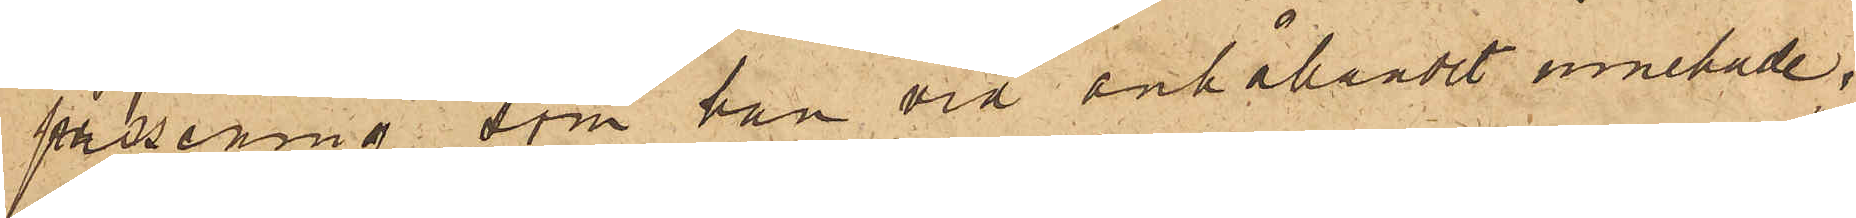pessenning, som han vid anhållandet innehade;
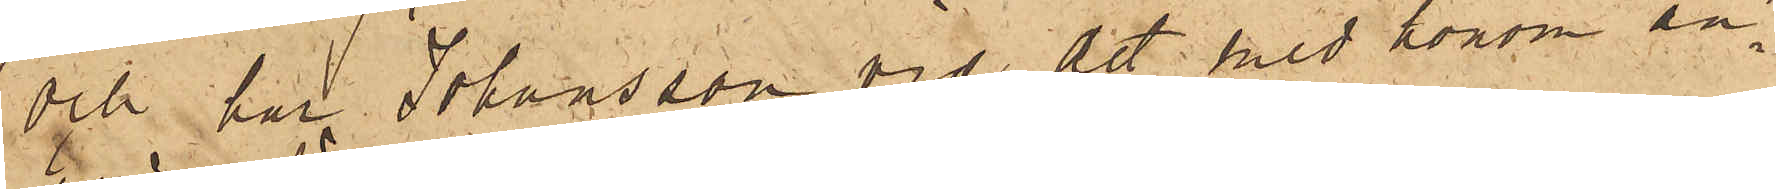och har Johansson vid det med honom an¬
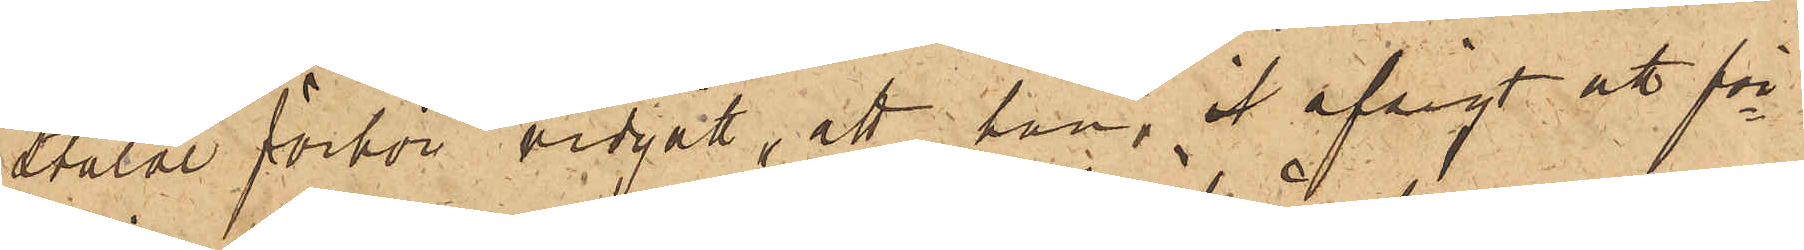stälde förhör vidgått, att han, i afsigt att för¬
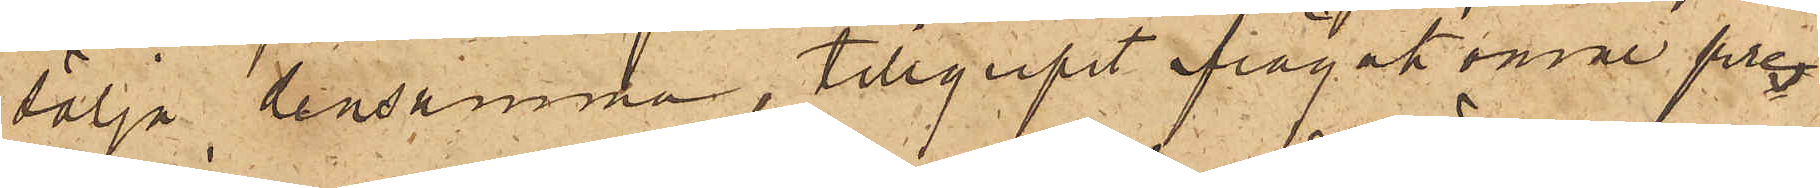sälja densamma, tillgripit ifrågakomne pres¬
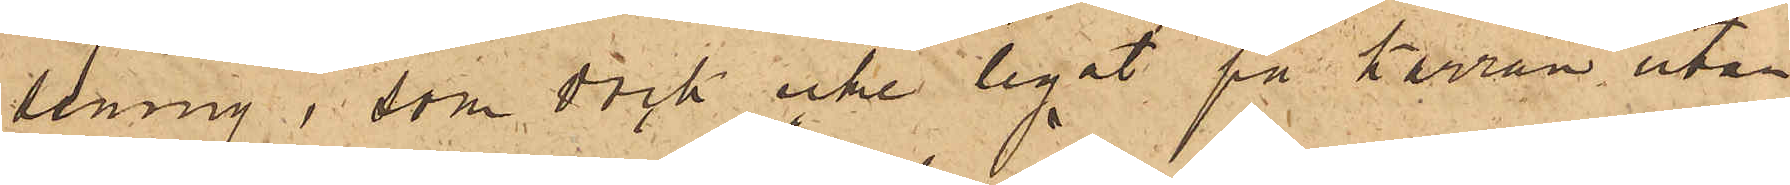senning, som dock icke legat på kärran utan
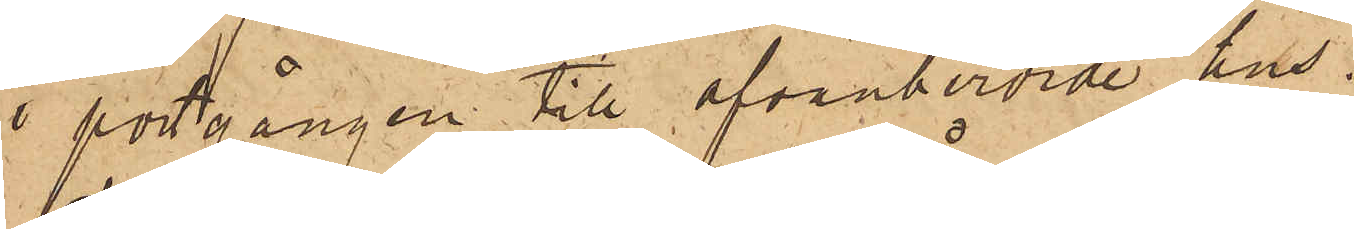i portgången till ofvanberörde hus.
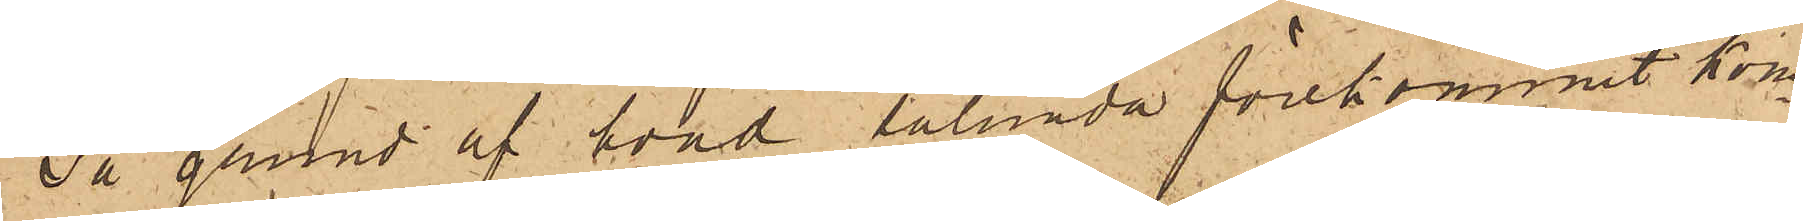På grund af hvad sålunda förekommit kom¬
